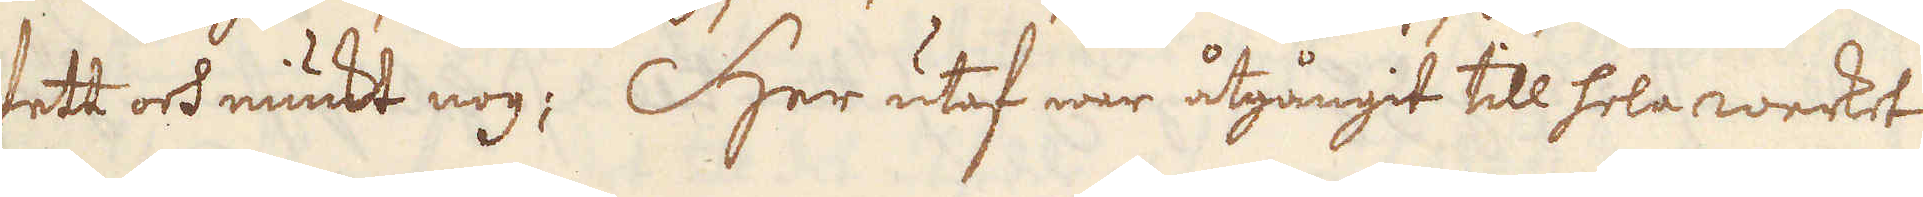fett och miukt nog; Her utaf war åtgångit till hela werket
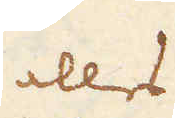in alles
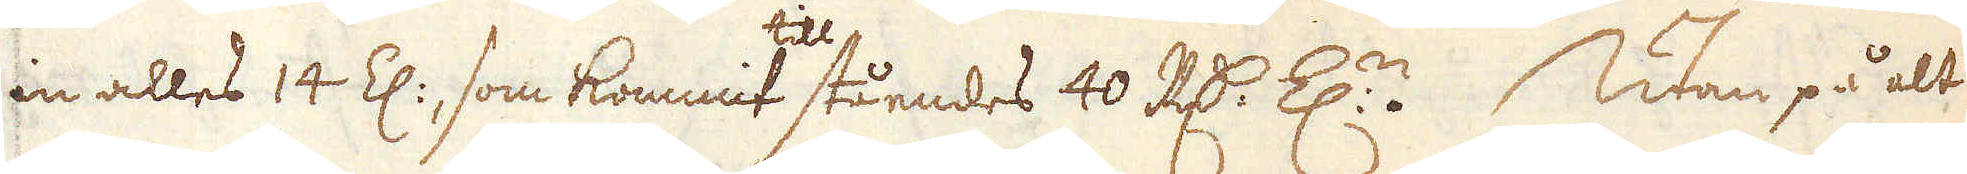in alles 14 El:, som kommit till ståendes 40 R:dr E:n. Utan på alt
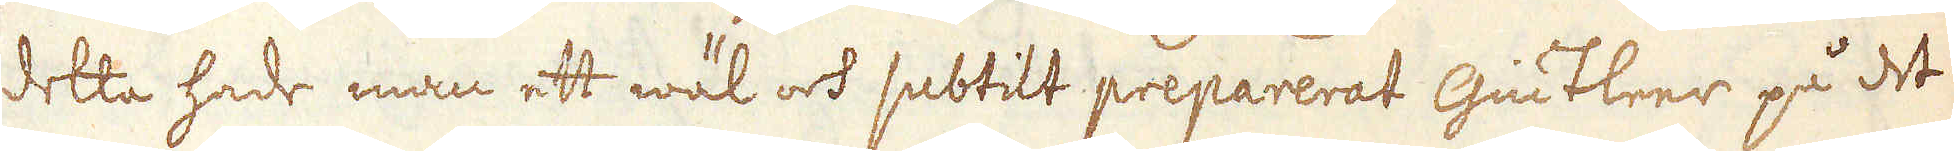detta hade man ett wäl och subtilt preparerat giutleer på det
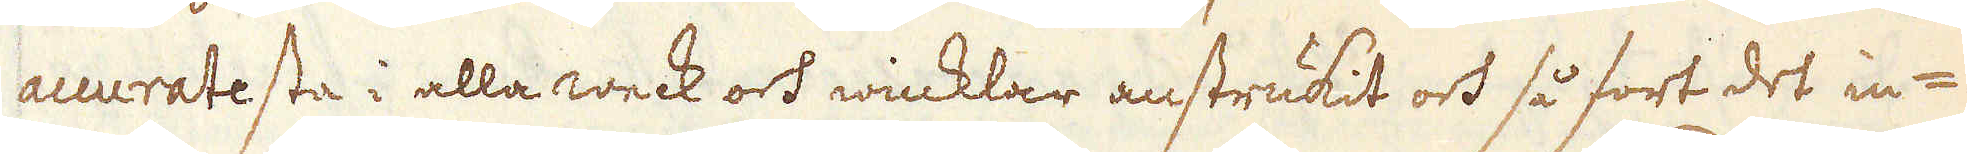accuratesta i alla weck och winklar anstrukit och så fort det in-
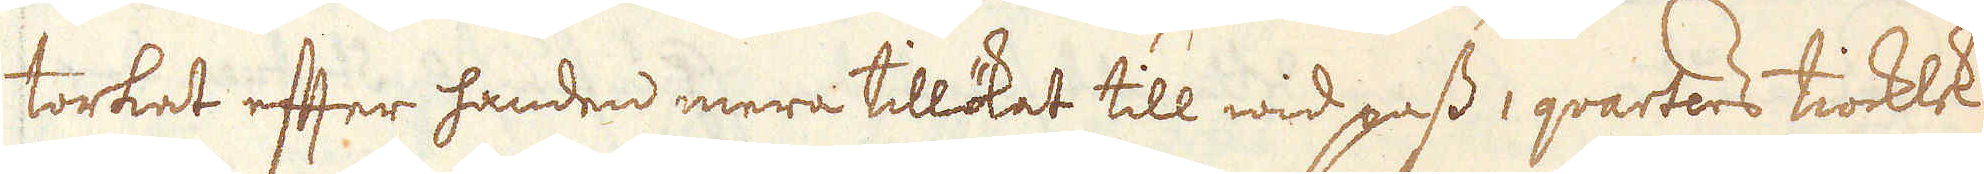torkat efter handen mera tillökat till wid pass i qvarters tiocklek
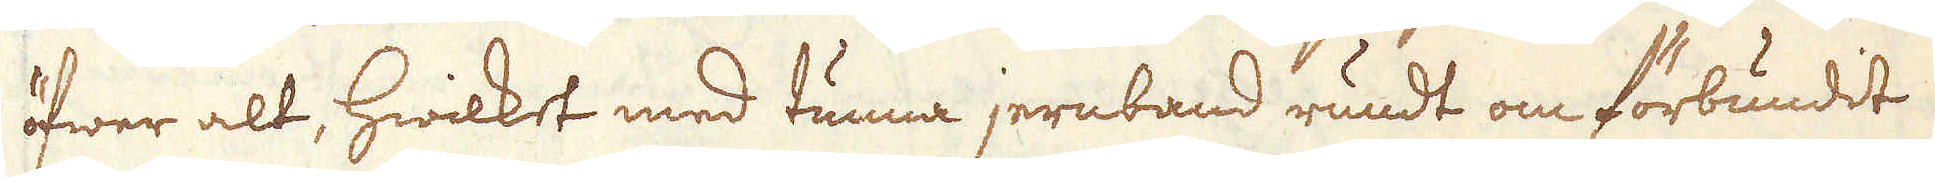öfwer alt, hwilket med tunna jernband rundt om förbundit
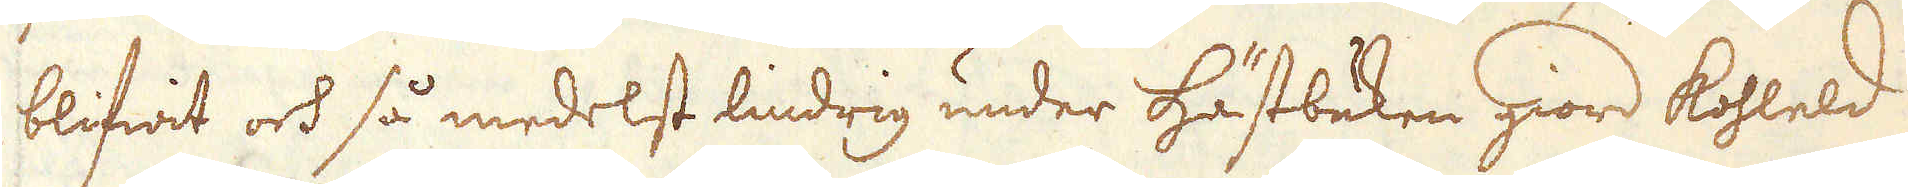blifwit och så medelst lindrig under hästbuken giord kohleld
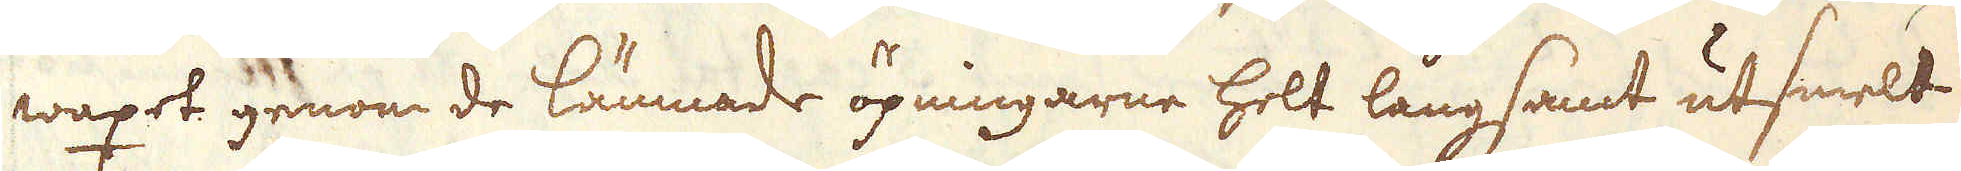waxet genom de lämnade öpningarne helt långsamt utsmelt
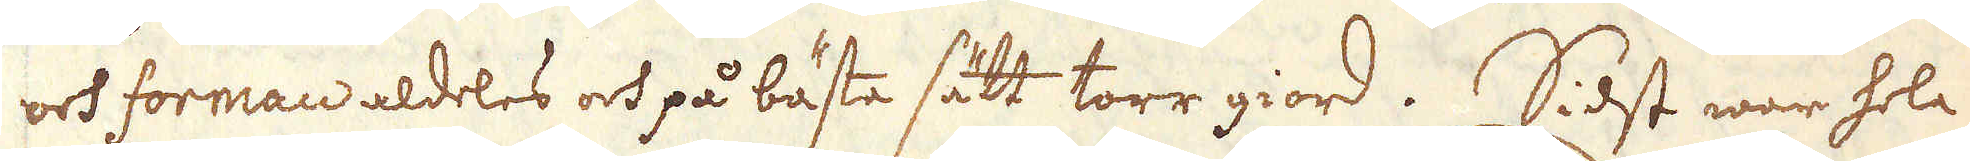och forman aldeles och på bästa sätt torr giord. Sidst war hela
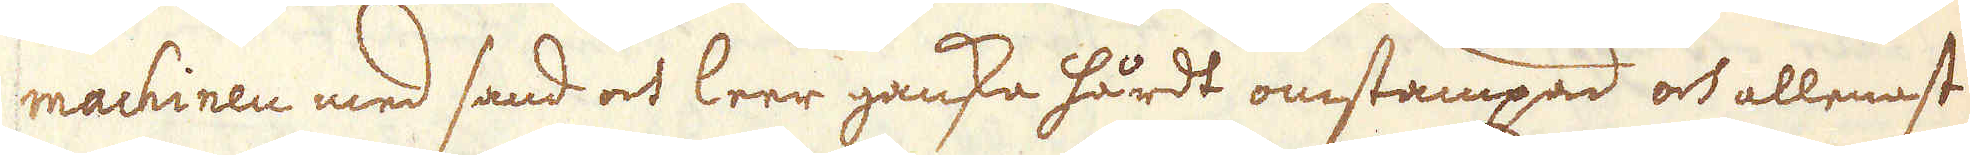machinen med sand och leer ganska hårdt omstampad och allenast
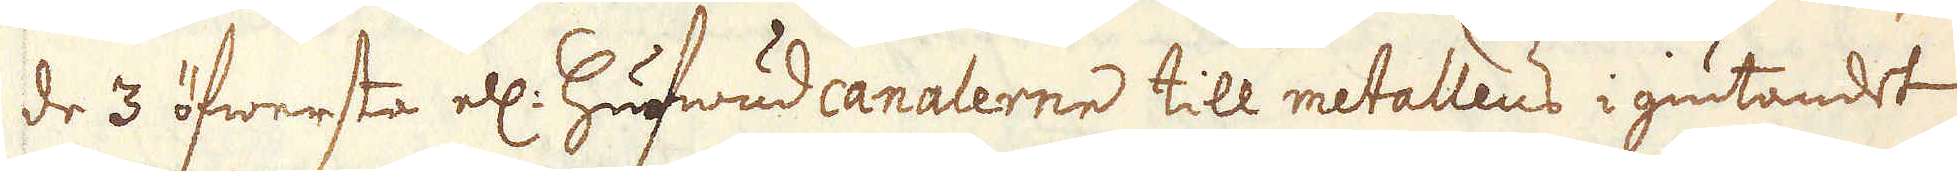de 3 öfwerste ell: hufwudcanalerne till metallens i giutandet
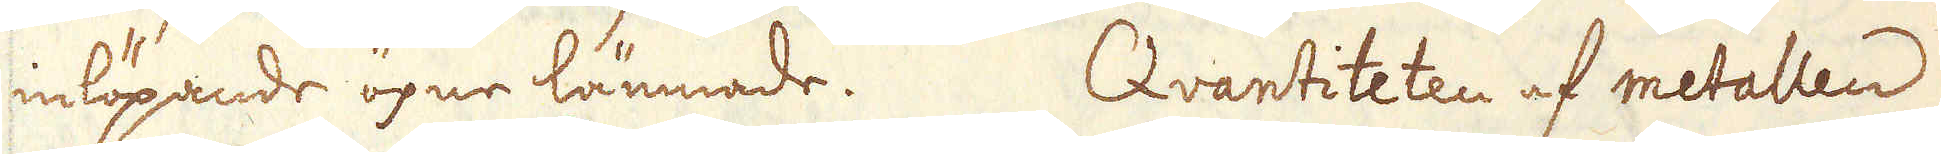inlöpande öpne lämnade. Qvantiteten af metallen
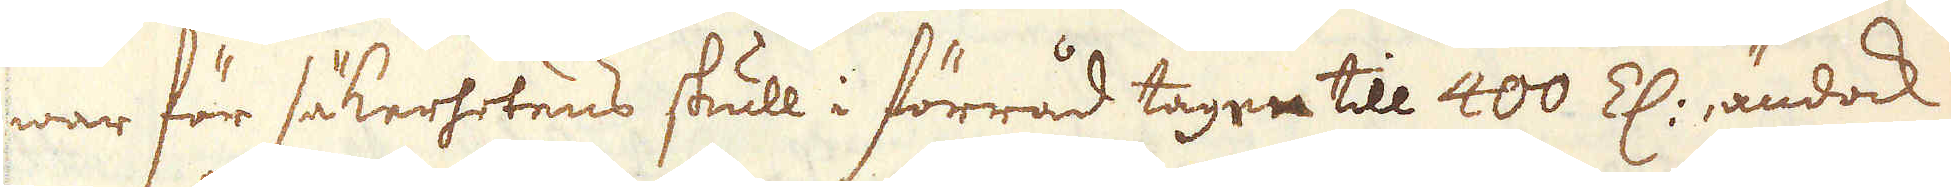war för säkerhetens skull i förråd tagen till 400 E., ändock
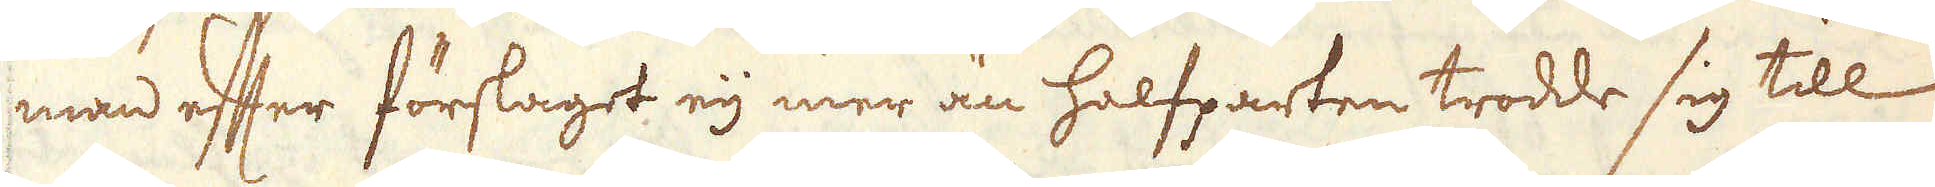man efter förslaget eij mer än halfparten trodde sig till
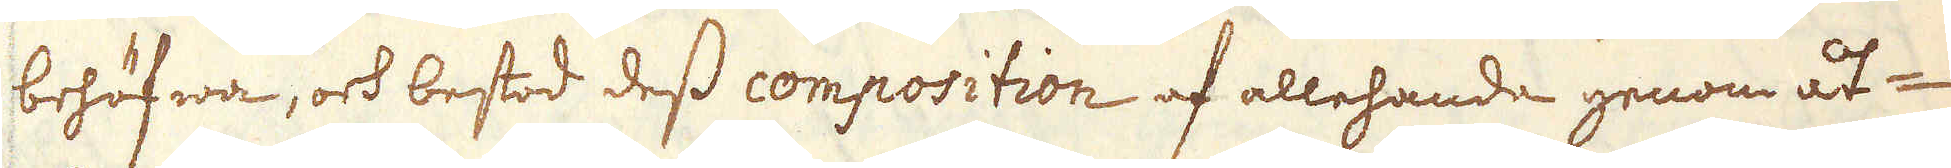behöfwa, och bestod dess composition af allehanda genom åt-
